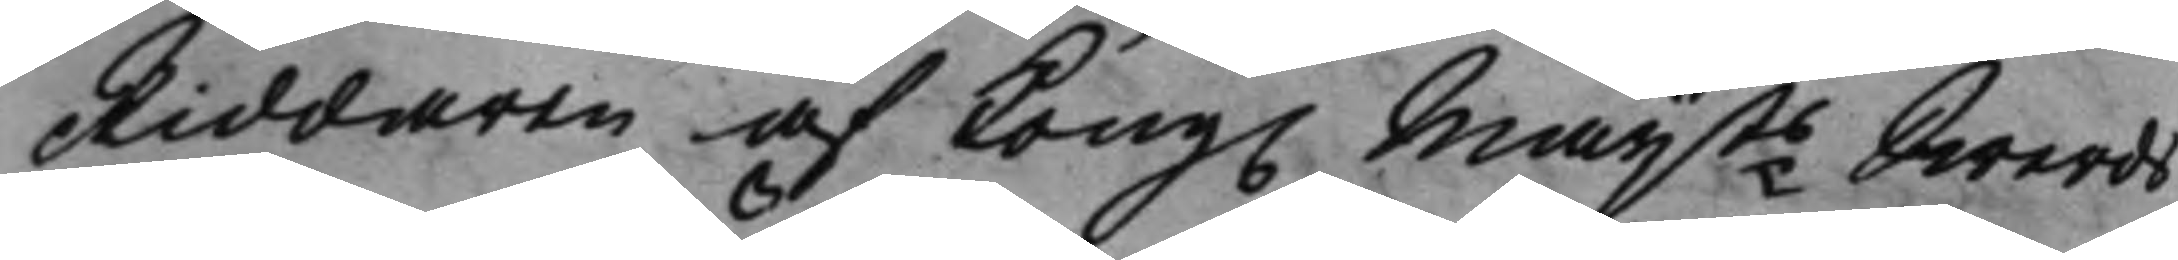Riddaren af Kong. Maijts Swerds¬ 
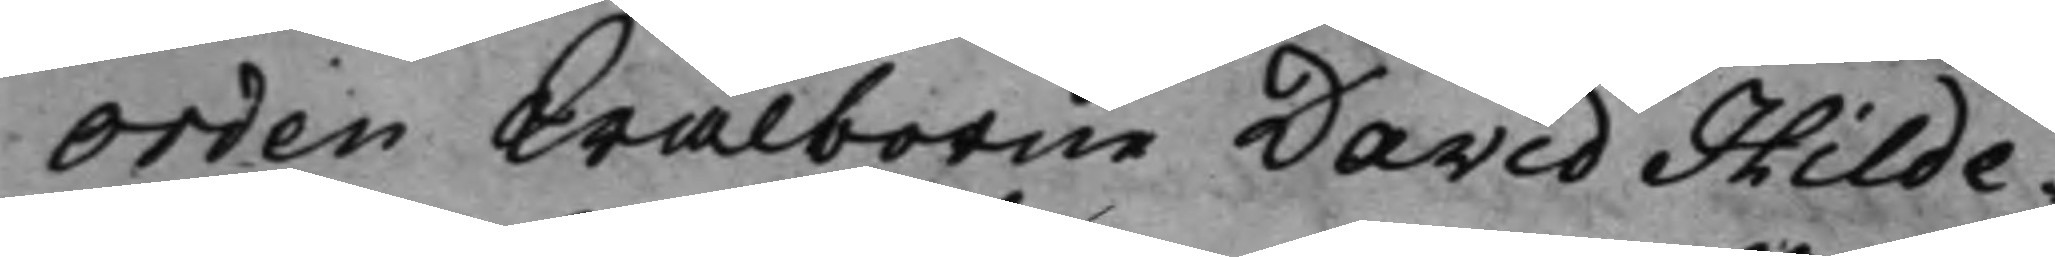Orden Wälborne David Hilde¬
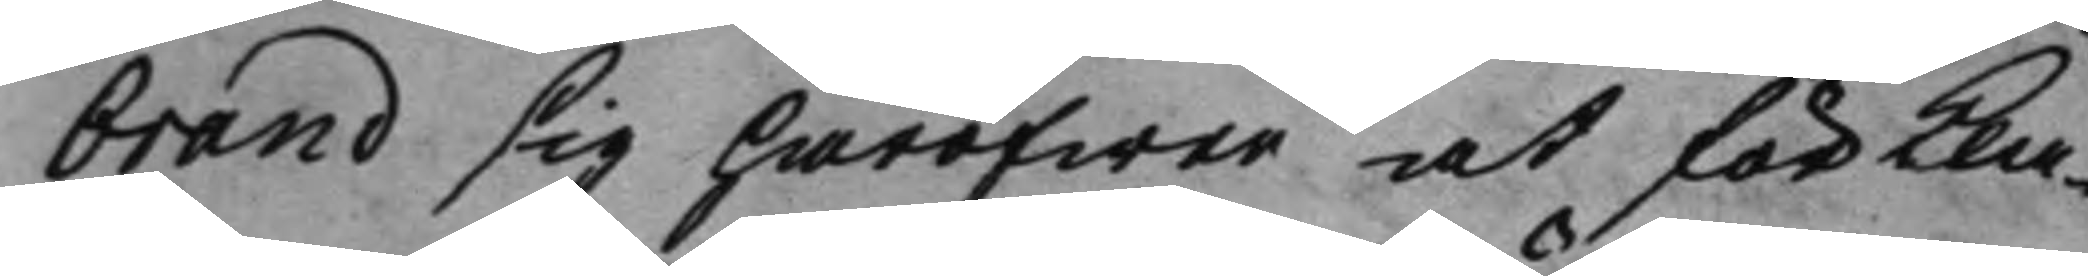brand sig häröfwer at förkla¬
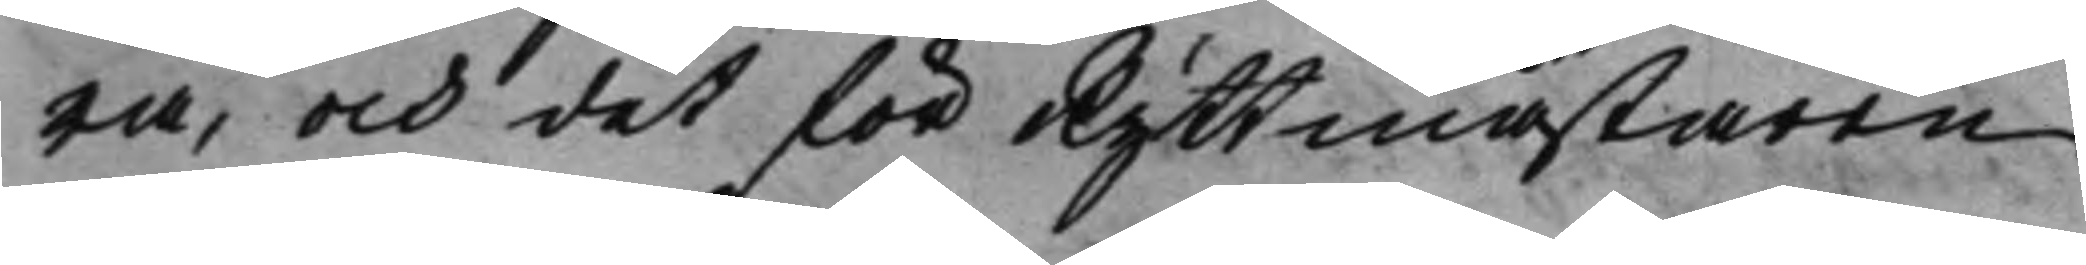ra, och det för Ryttmästaren
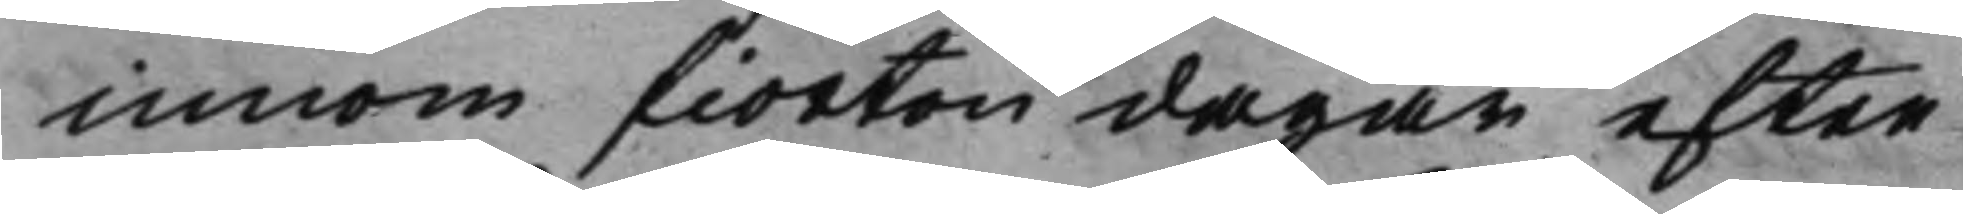innom fiorton dagar efter
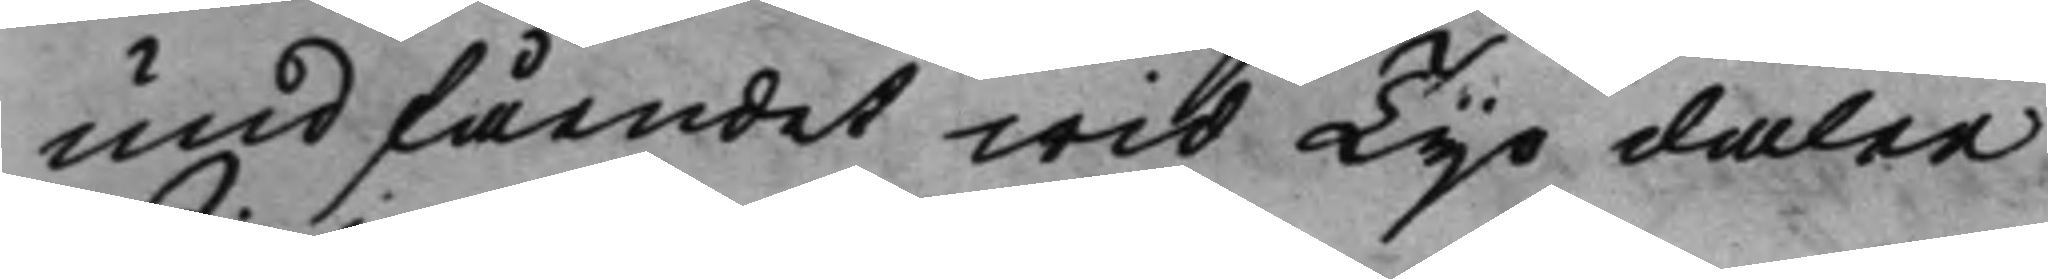undfåendet wid Tijo daler
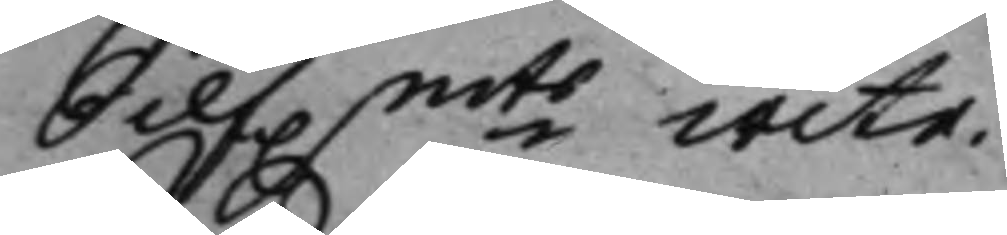Silf.mts wite. 
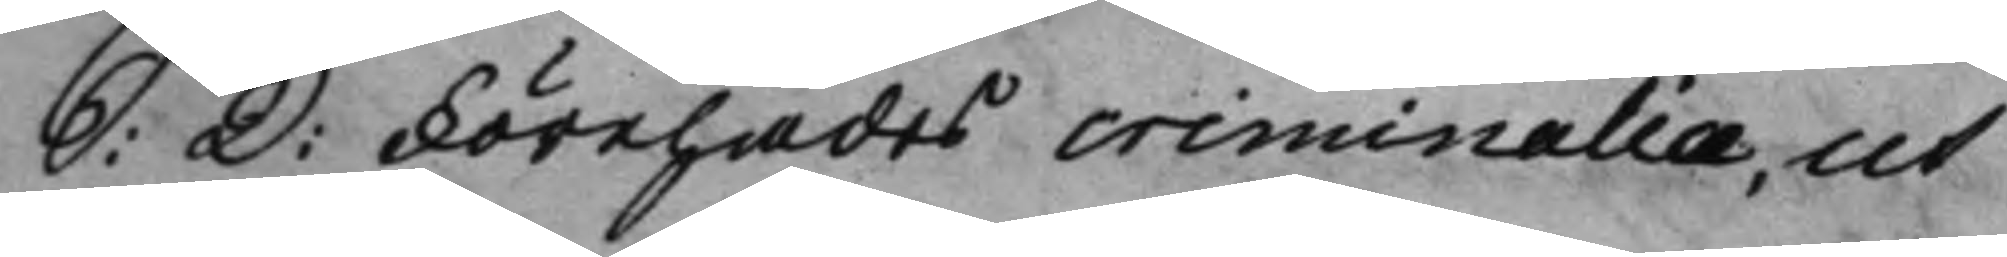S: D: Förehades criminalia, ut 
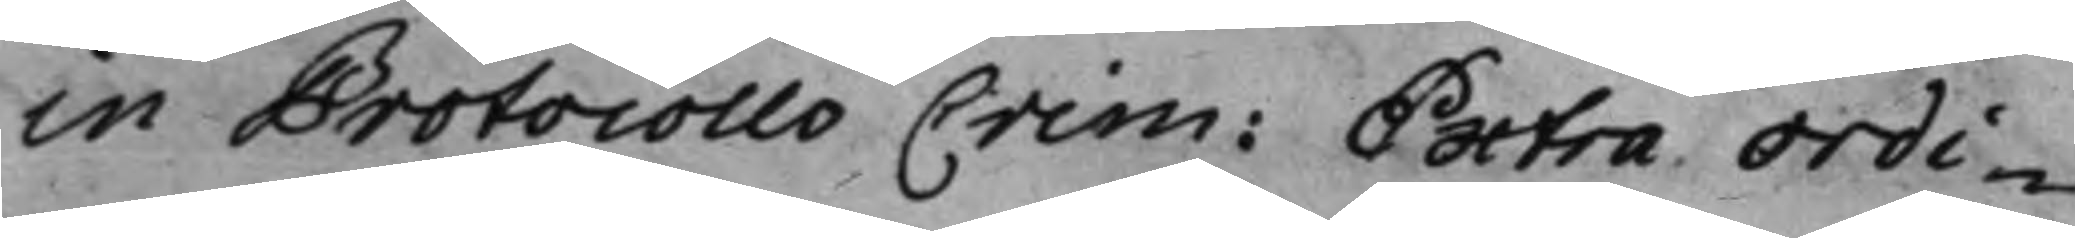in Protocollo Crim: Extra Ordi¬ 
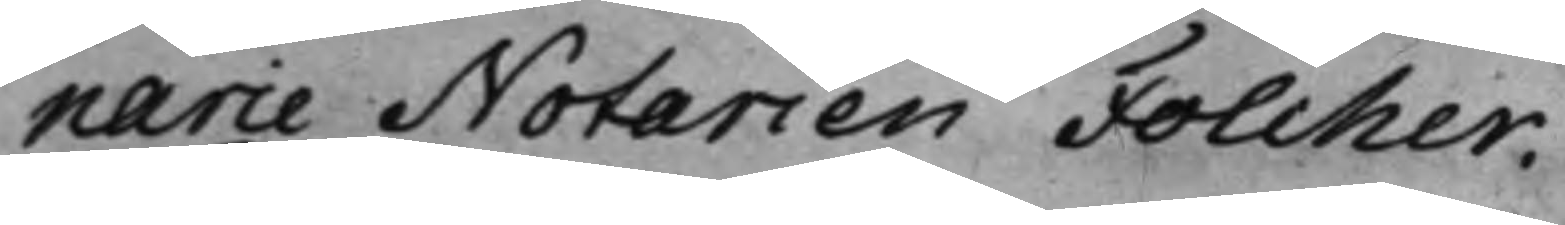narie Notarien Folcher.
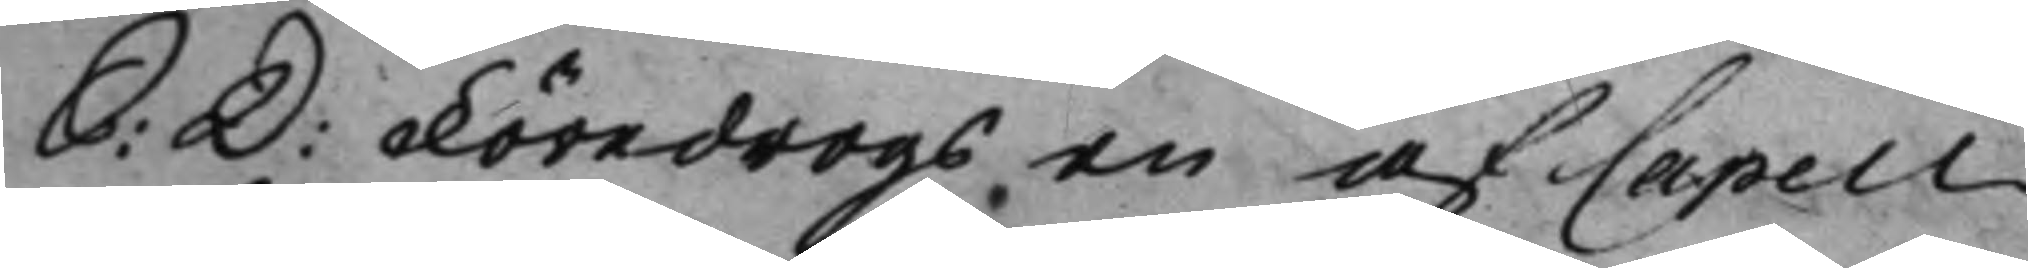S: D: Föredrogs en af Capell 
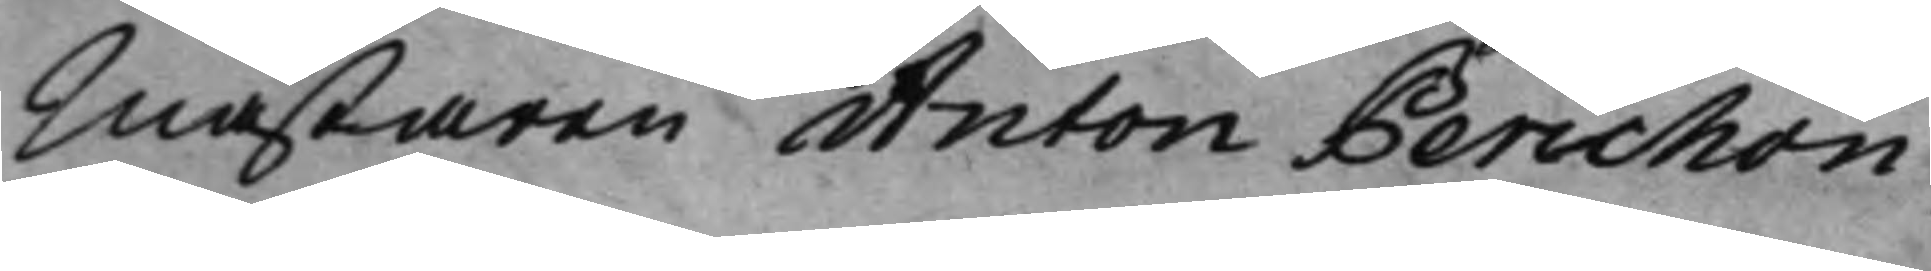Mästaren Anton Perichon
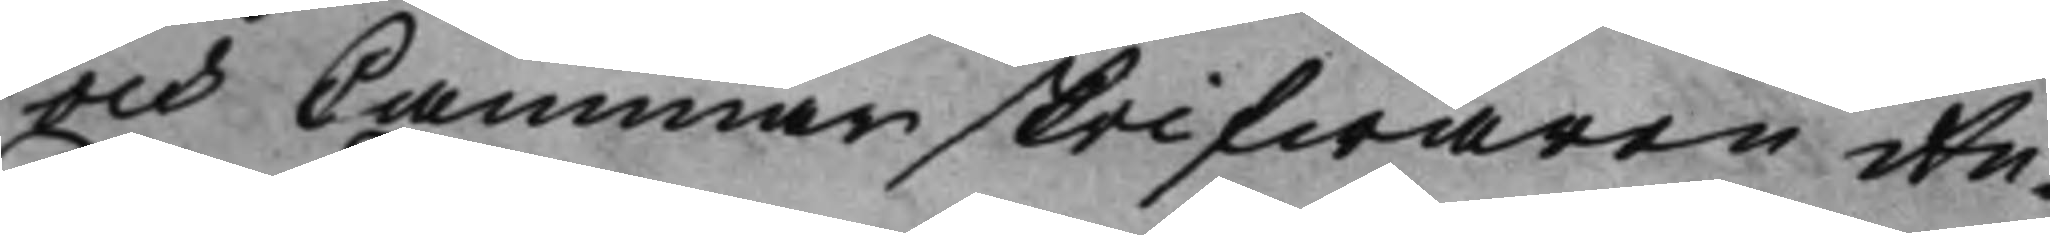och Cammarskrifwaren An¬
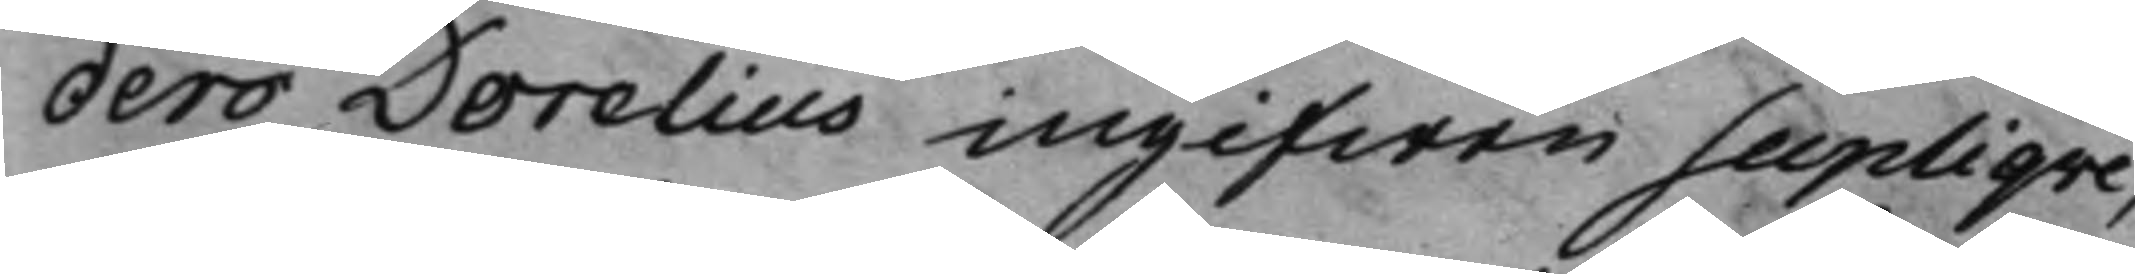ders Dorelius ingifwen Supliqve,
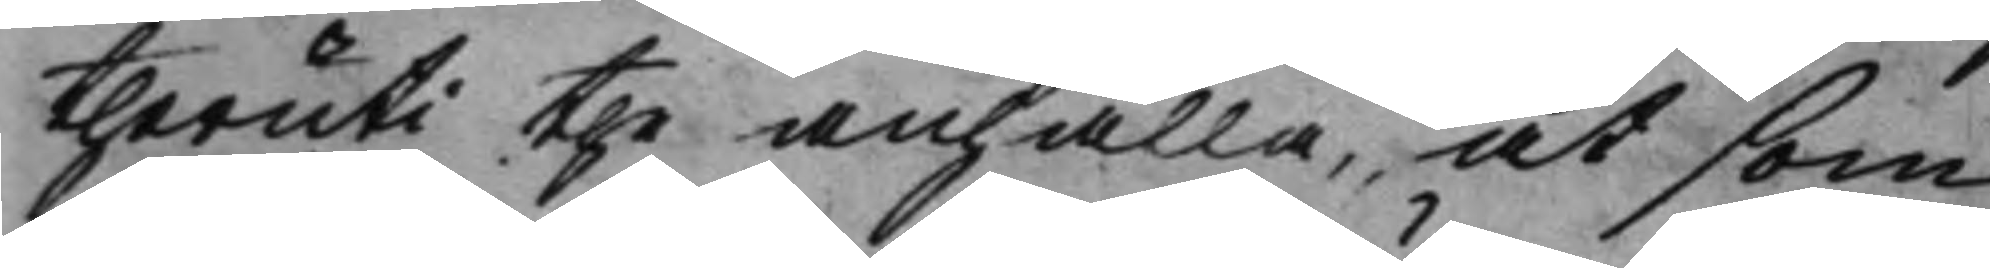theruti the anhålla, at som 
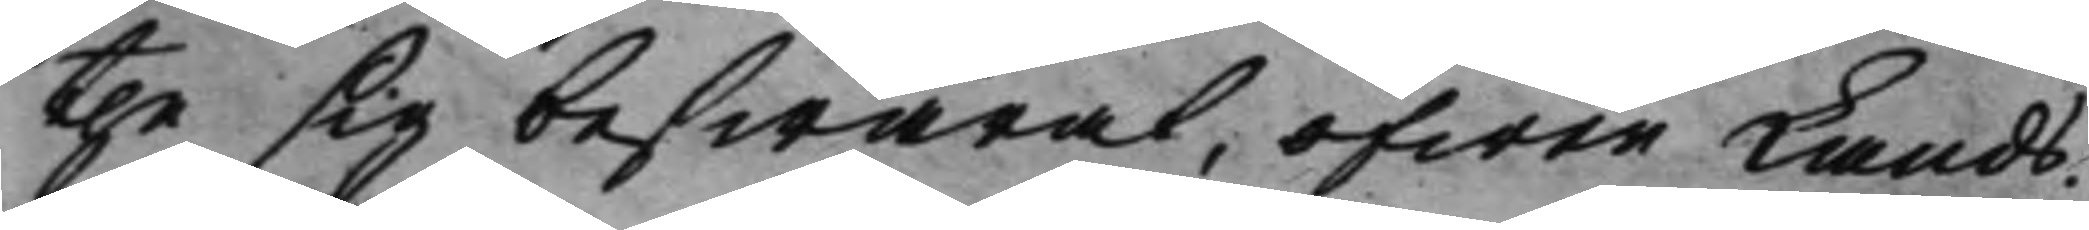the sig beswärat, öfwer Lands¬
